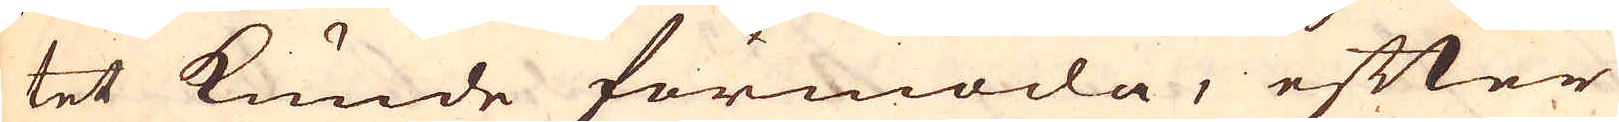tet kunde förmoda, efter
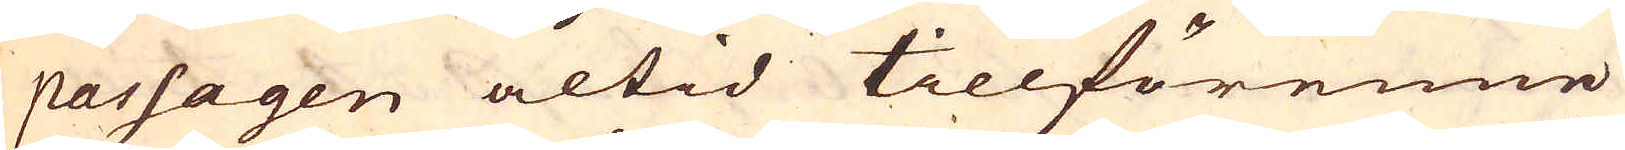passagen altid tillförenne
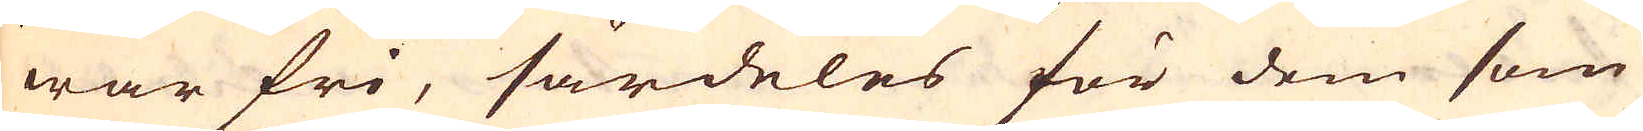war fri, särdeles för dem som
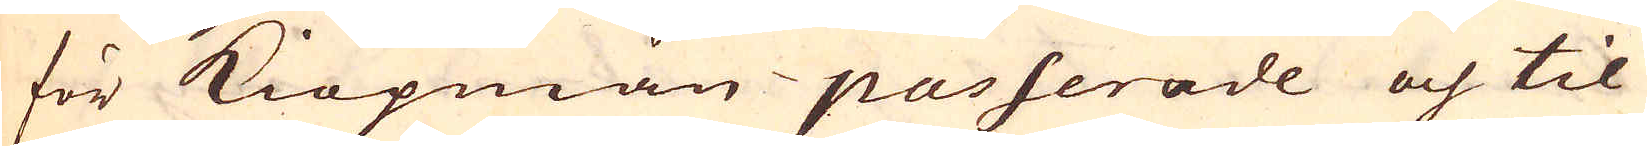för Kiöpmän passerade och til
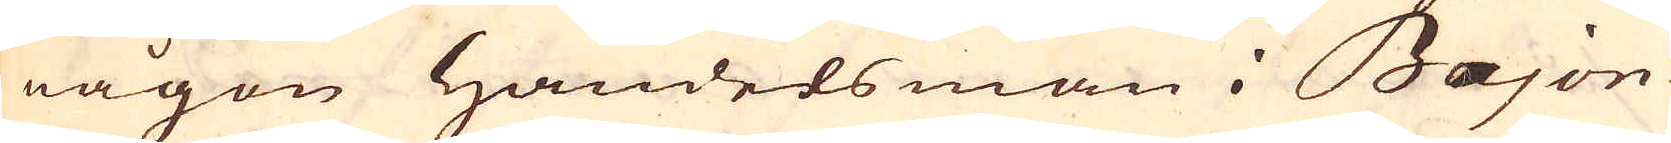någon handelsman i Bajon-
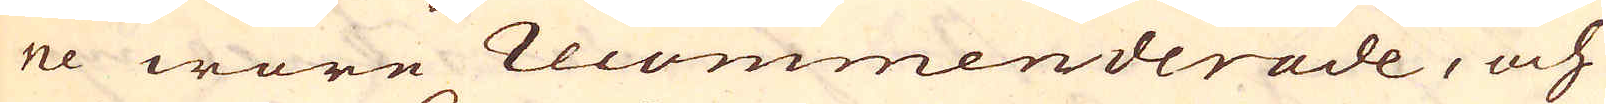ne wore recommenderade, och
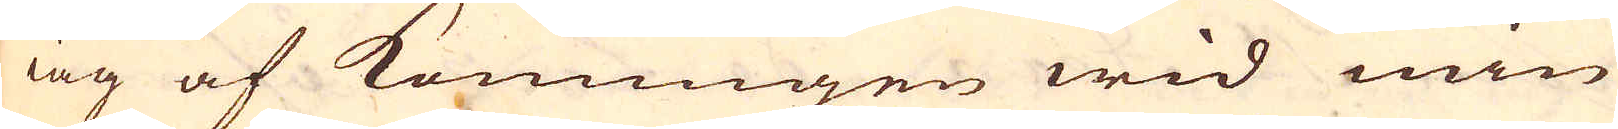iag af Konungen wid min
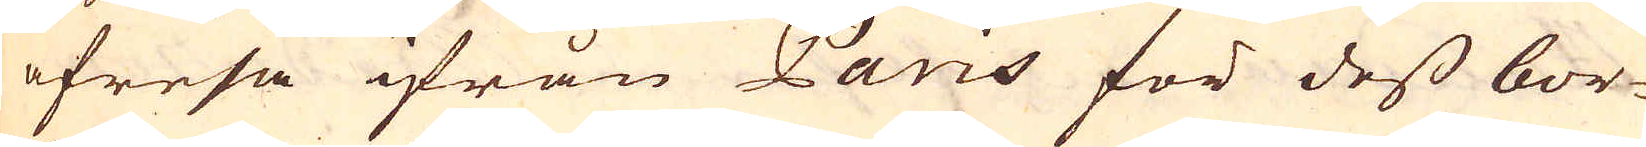afresa ifrån Paris för dess bor-
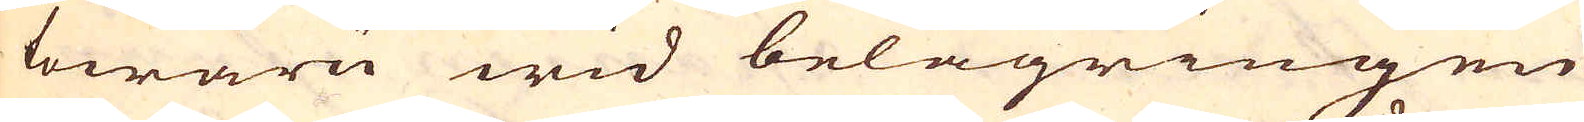towaru wid belägringen
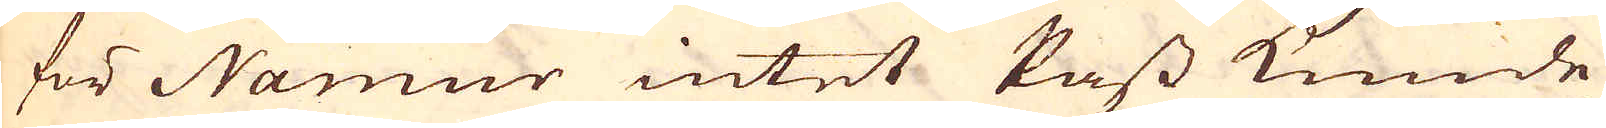för Namur intet Pass kunde
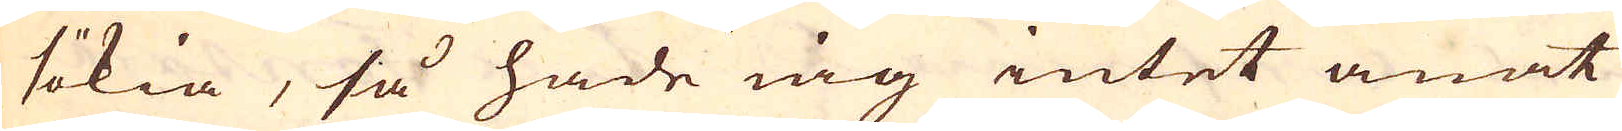sökia, så hade iag intet anat
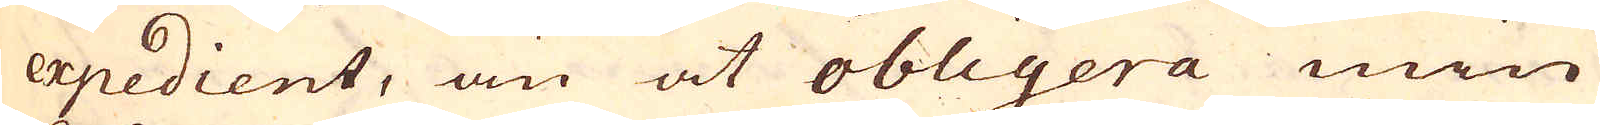expedient, än at obligera min
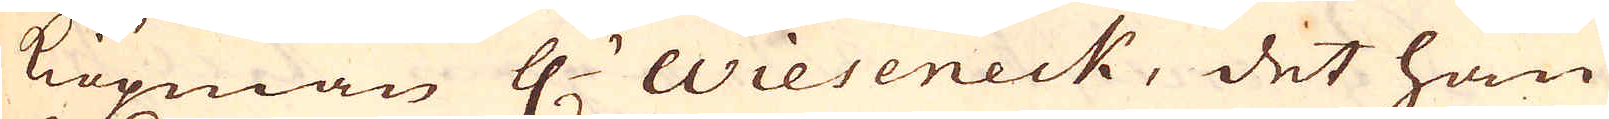Kiöpman H:r Wieseneck, det han
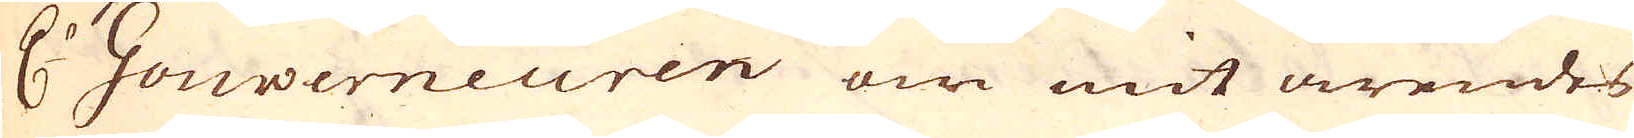H:r Gouverneuren om mit ärendes
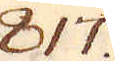817.
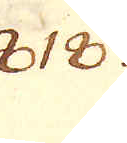818.
